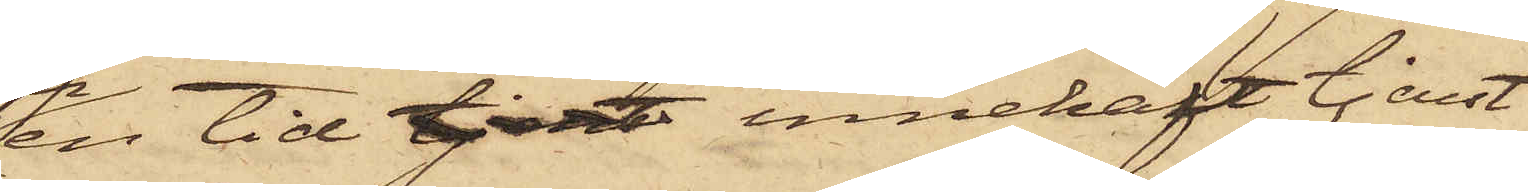en tid tjent innehaft tjenst
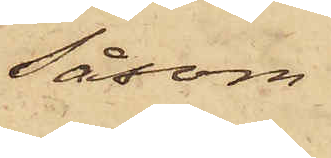Såsom
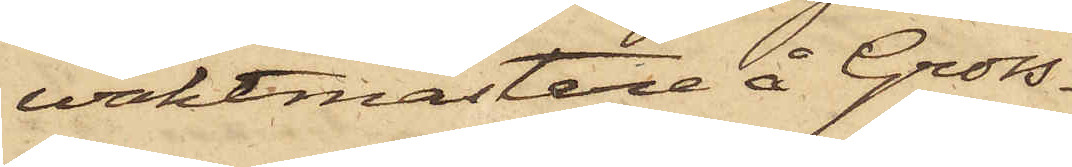waktmästare å Gross¬
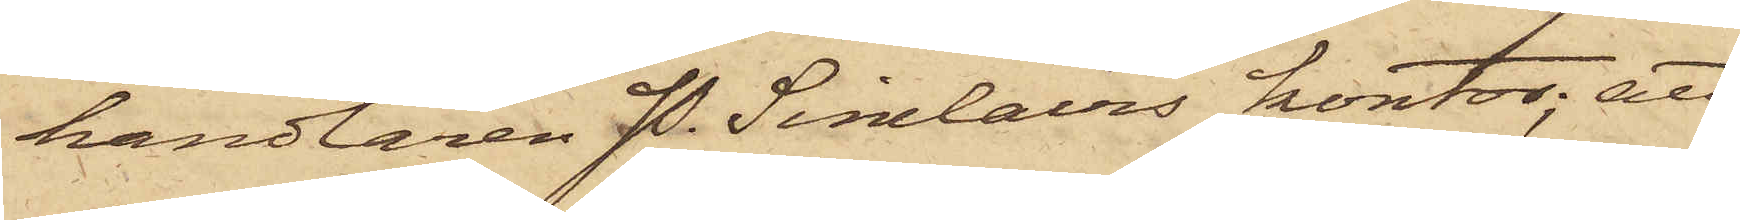handlaren P. Sinclairs kontor; att
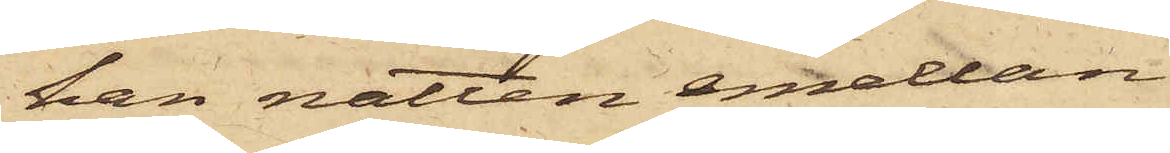han natten emellan
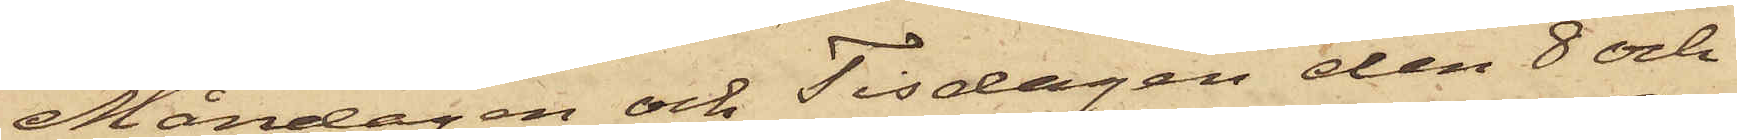Måndagen och Tisdagen den 8 och
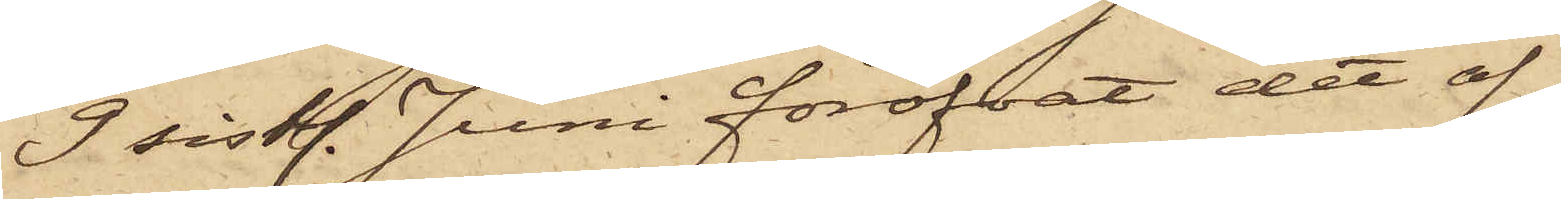9 sistl. Juni föröfvat det af
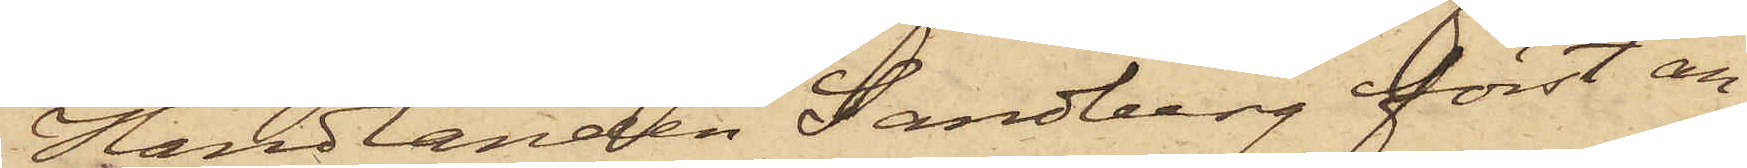Handlanden Sandberg först an¬
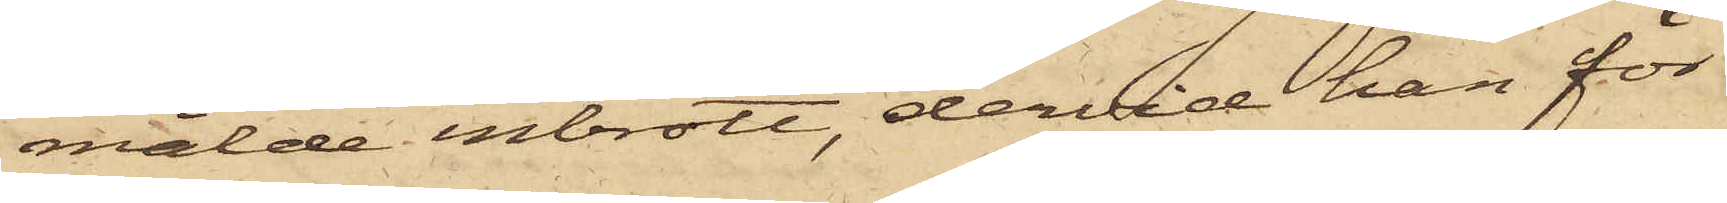mälde inbrott, dervid han för
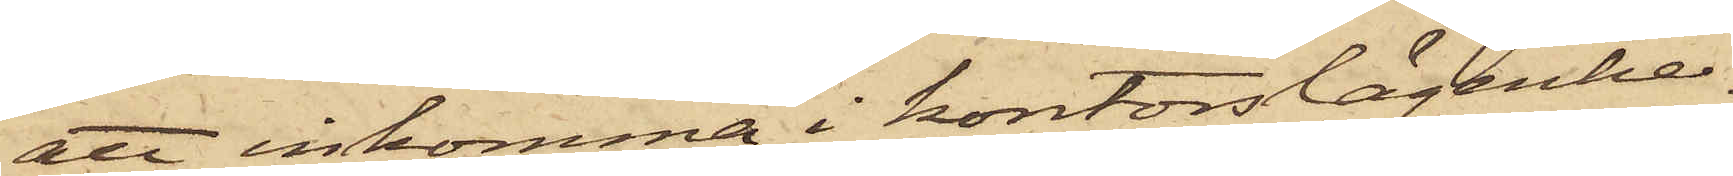att inkomma i kontorslägenhe¬
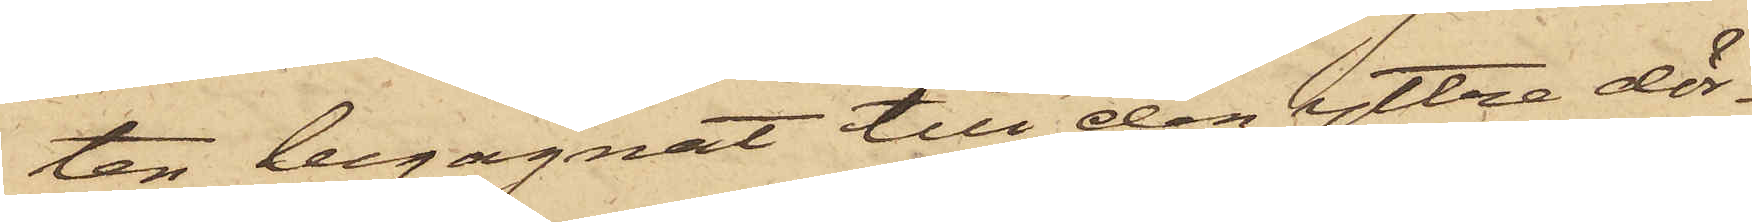ten begagnat till den yttre dör¬
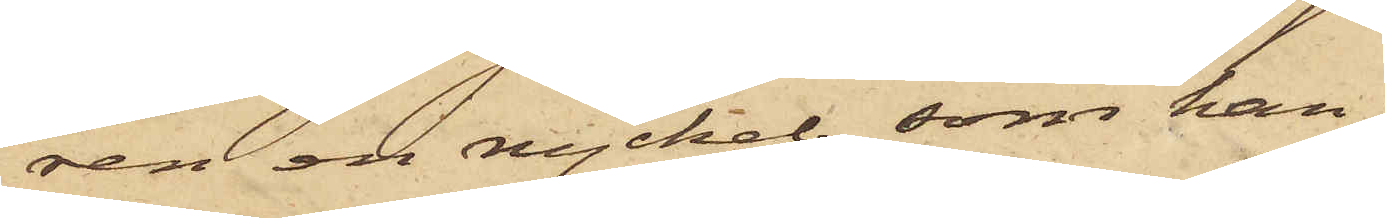ren en nyckel, som han
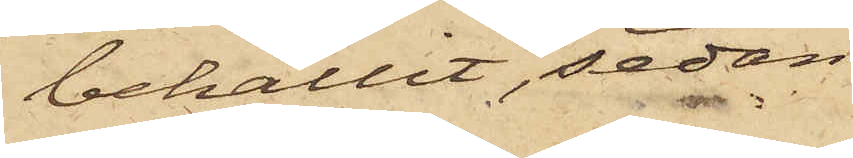behållit, sedan
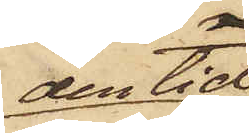den tid
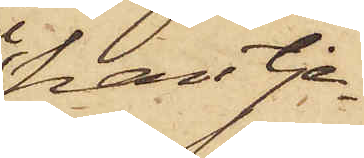han tje¬
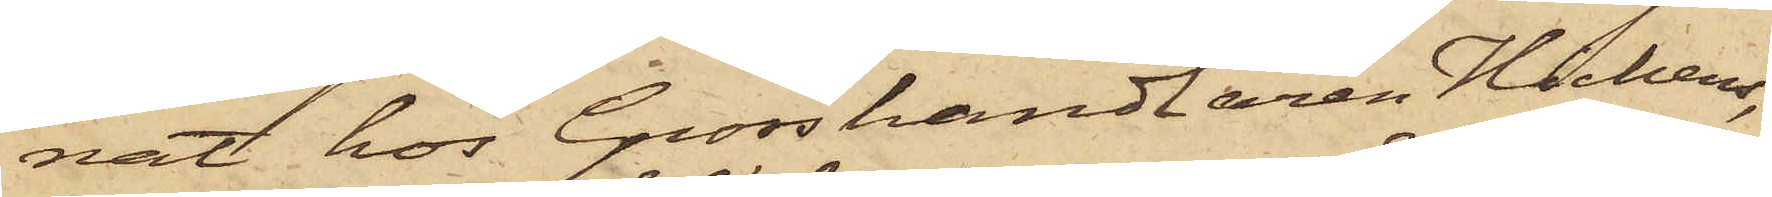nat hos Grosshandlaren Hichens,
